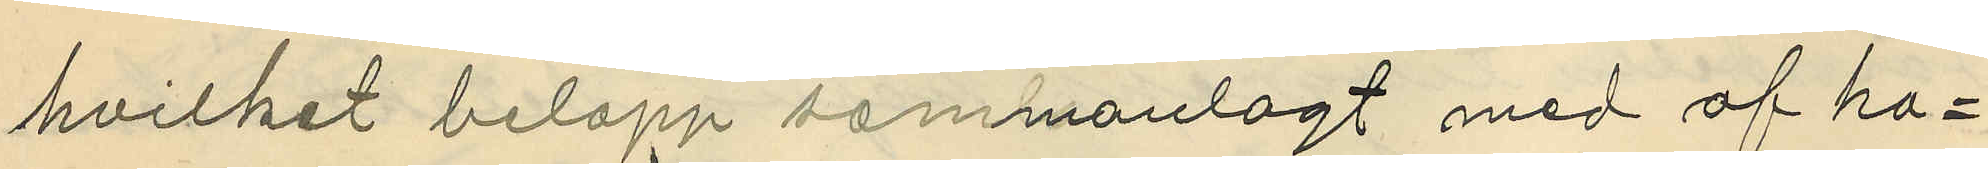hvilket belopp sammanlagt med af ho¬
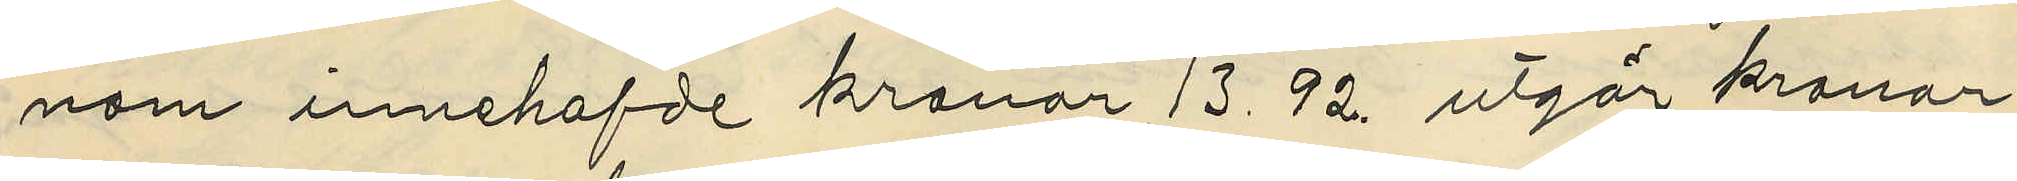nom innehafde kronor 13.92 utgår kronor
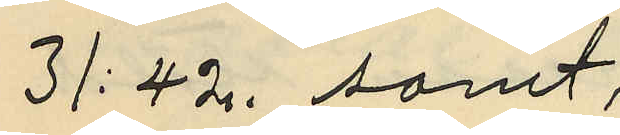31:42, samt,
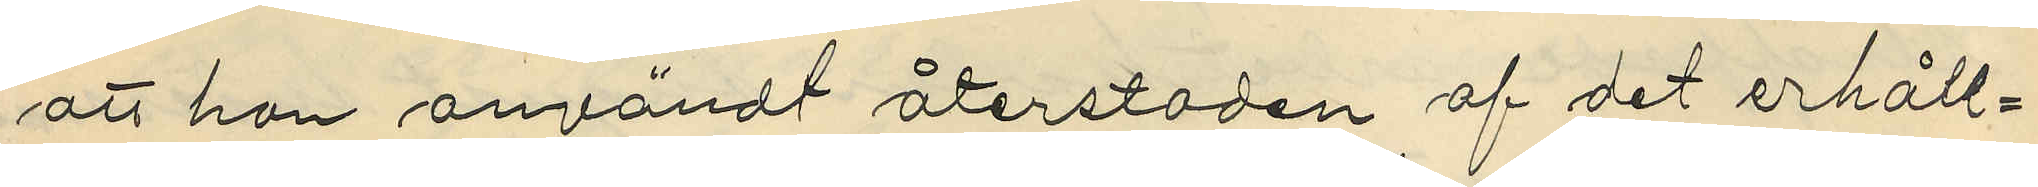att han användt återstoden af det erhåll¬
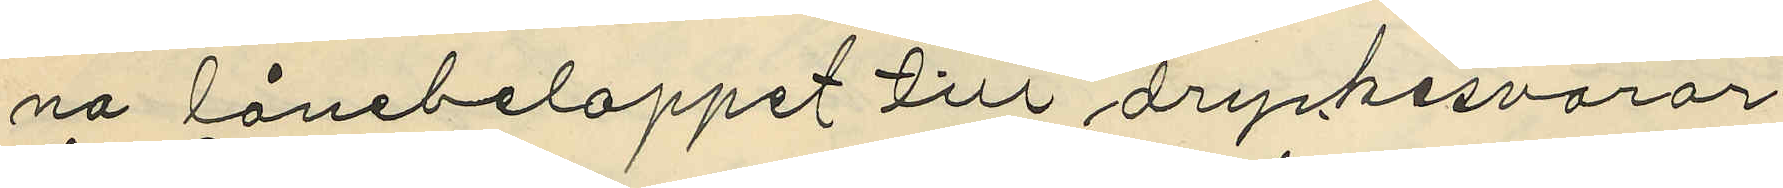na lånebeloppet till dryckesvaror
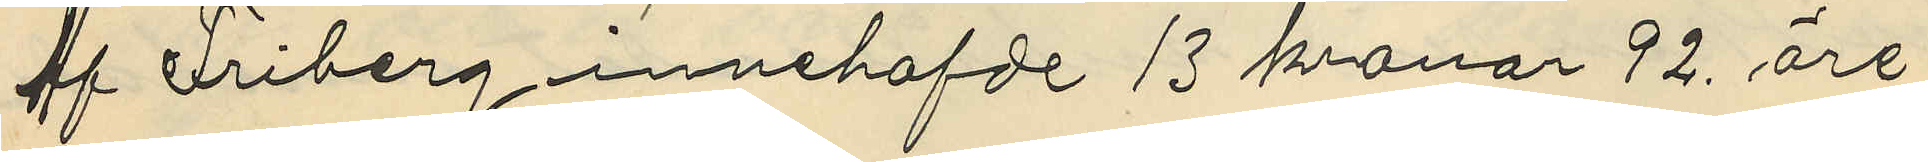af Friberg innehafvde 13 kronor 92. öre
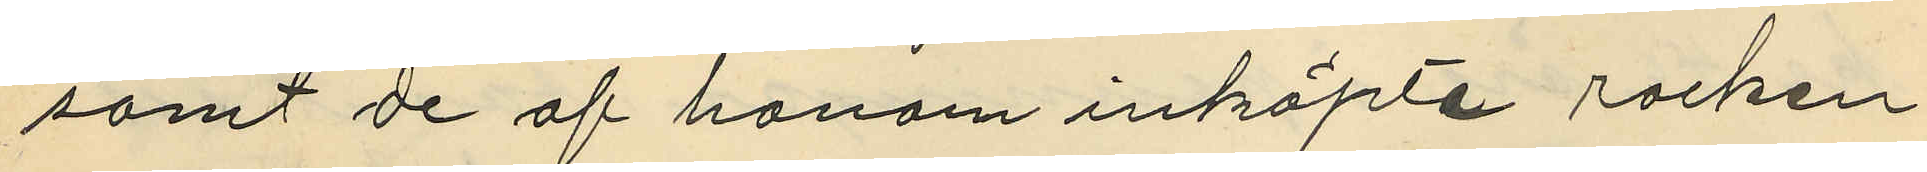samt de af honom inköpte rocken
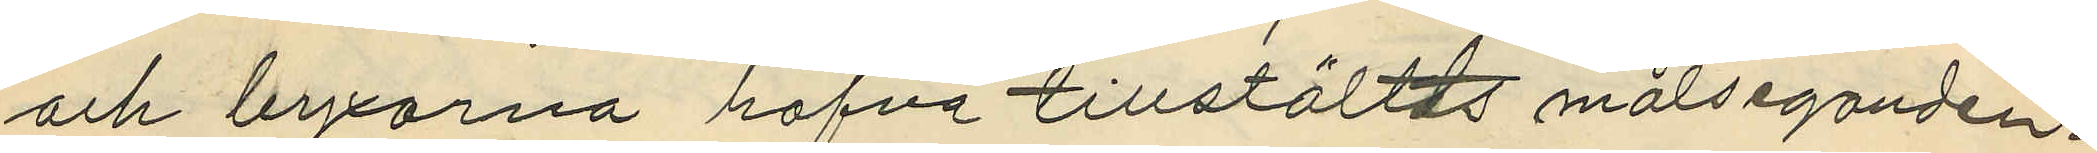och byxorna hafva tillställts målseganden.
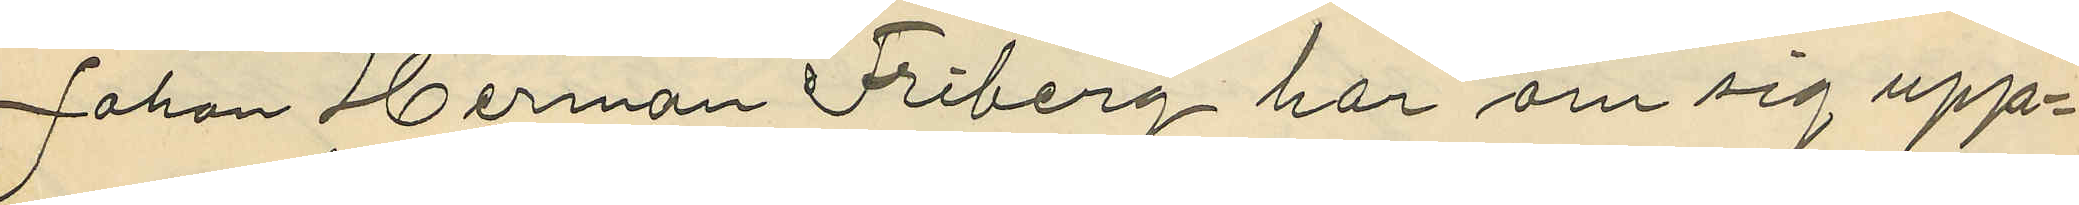Johan Herman Friberg har om sig upp¬
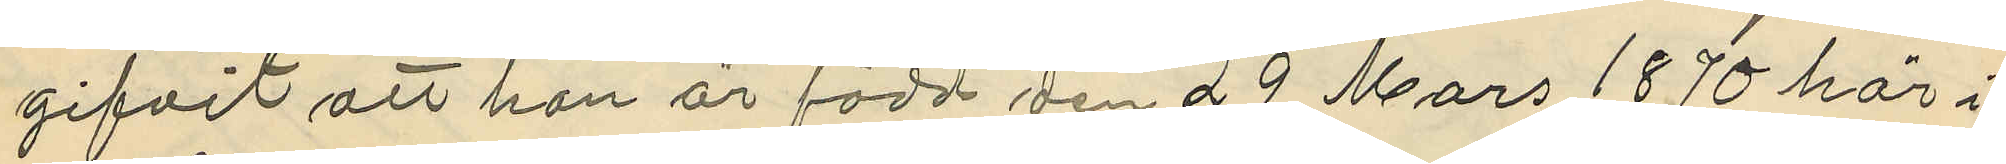gifvit att han är född den 29 Mars 1870 här i
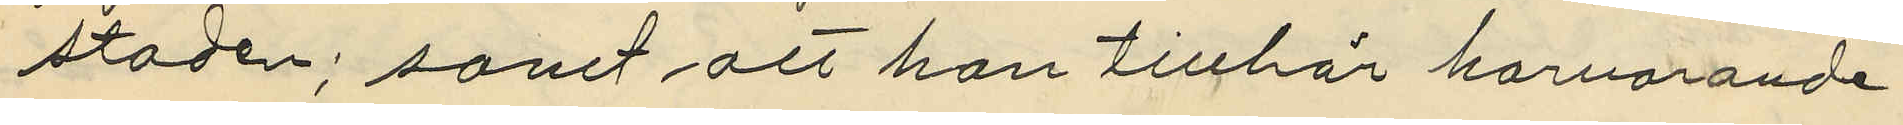stoden; samt att han tillhör härvarande
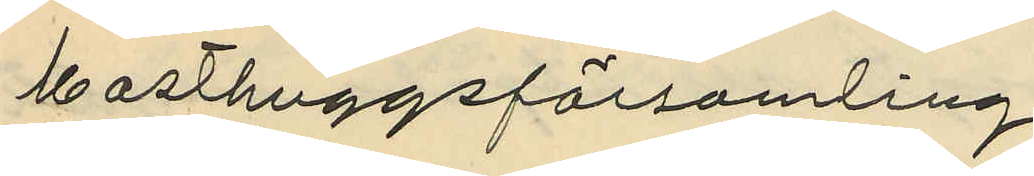Masthuggsförsamling
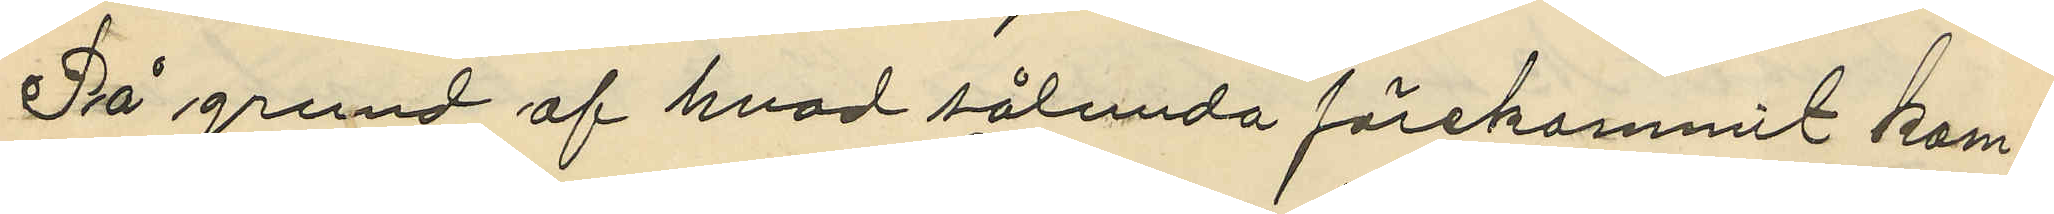På grund af hvad sålunda förekommit kom¬
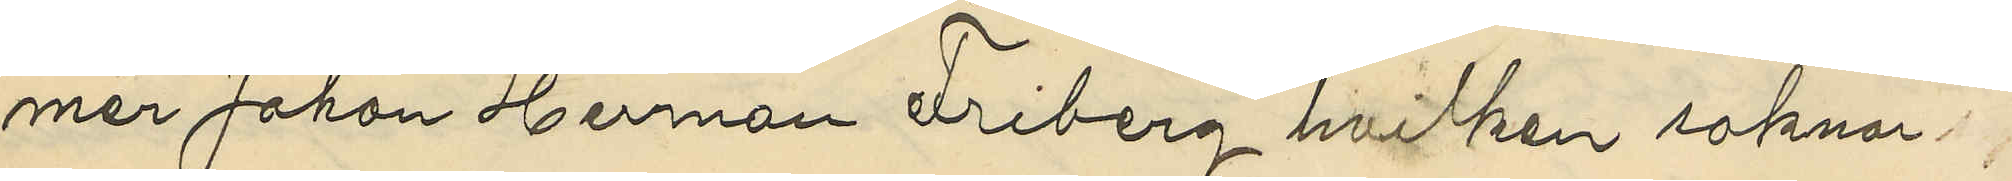mer Johan Herman Friberg hvilken saknar syss¬
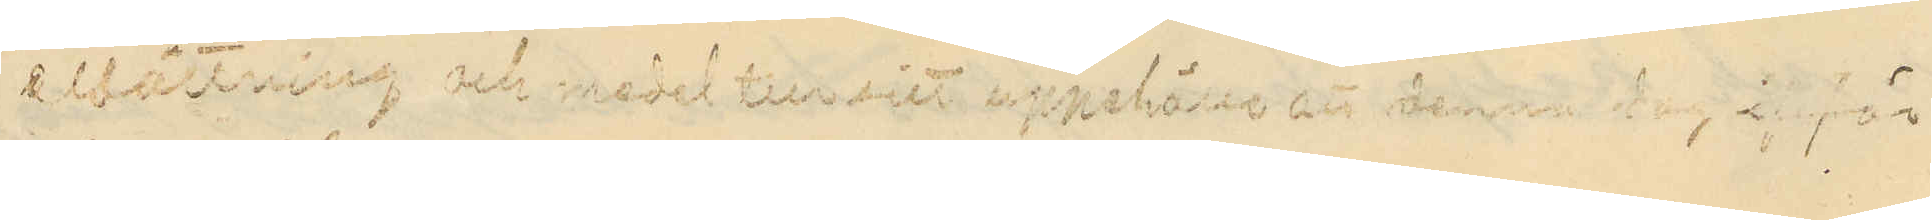elsättning och medel till sitt uppehälle att denna dag inför
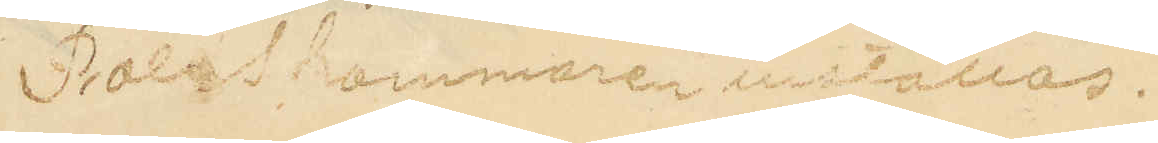Poliskammaren inställas.
